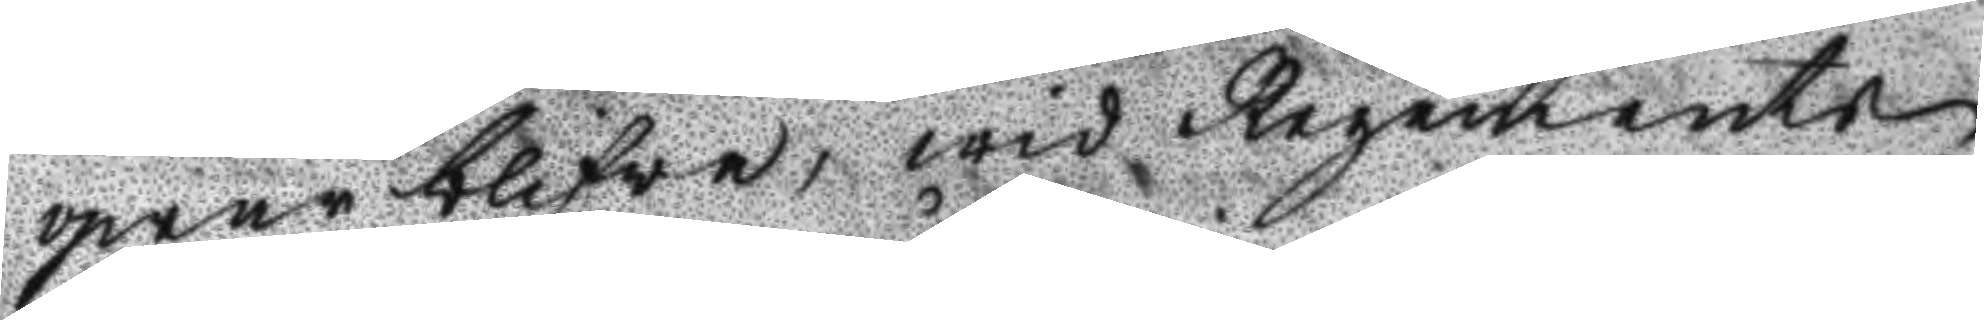qwar blifva, wid Regements
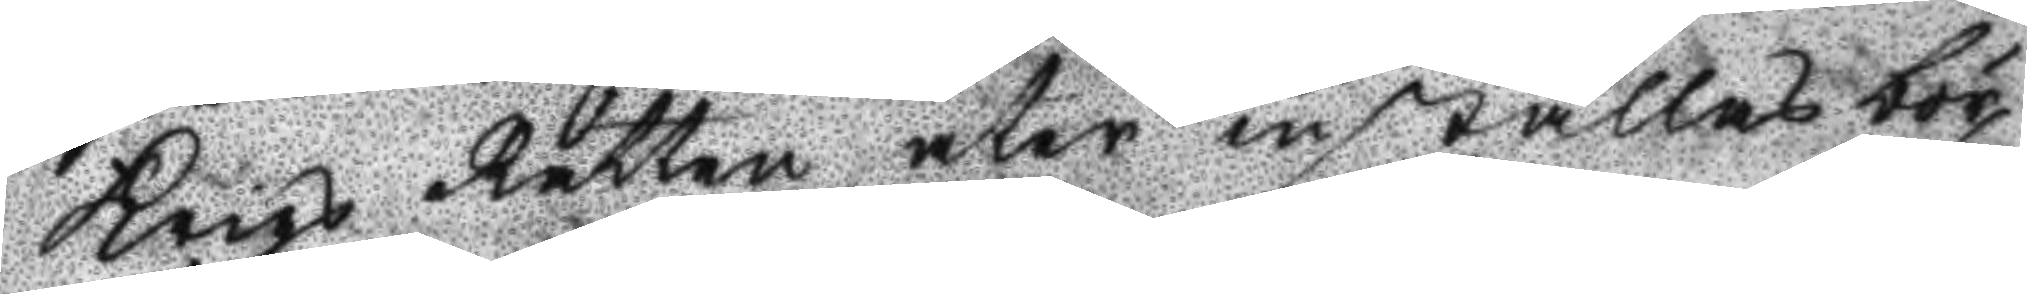Krigs Rätten åter inställas bör,
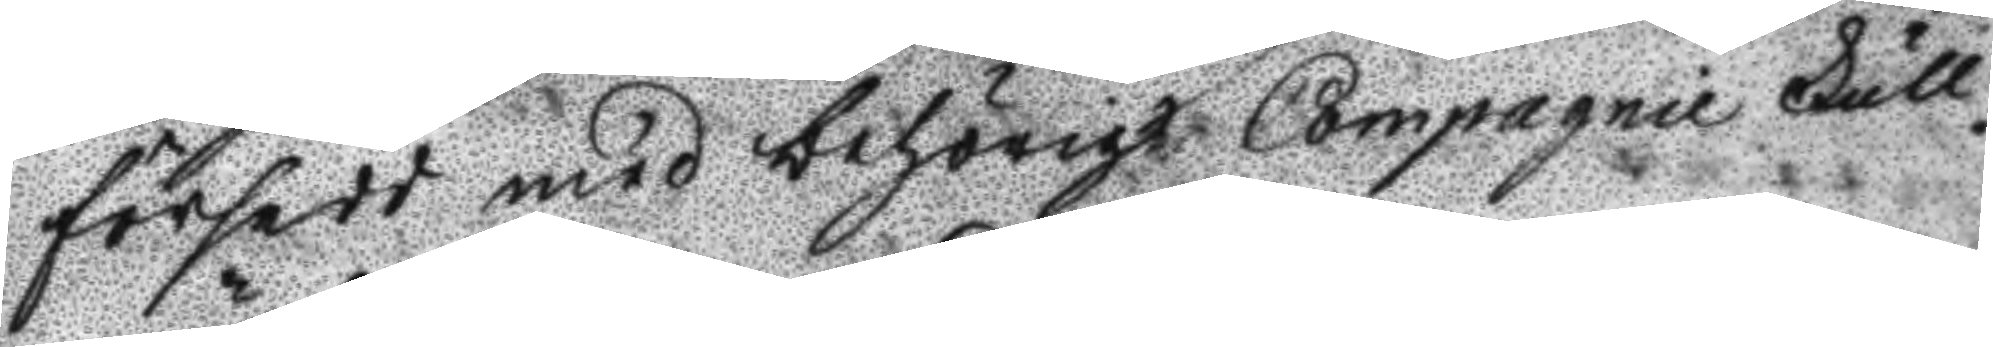försedd med behörigt Compagnie Full¬
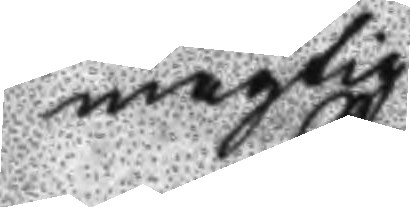mägtig.
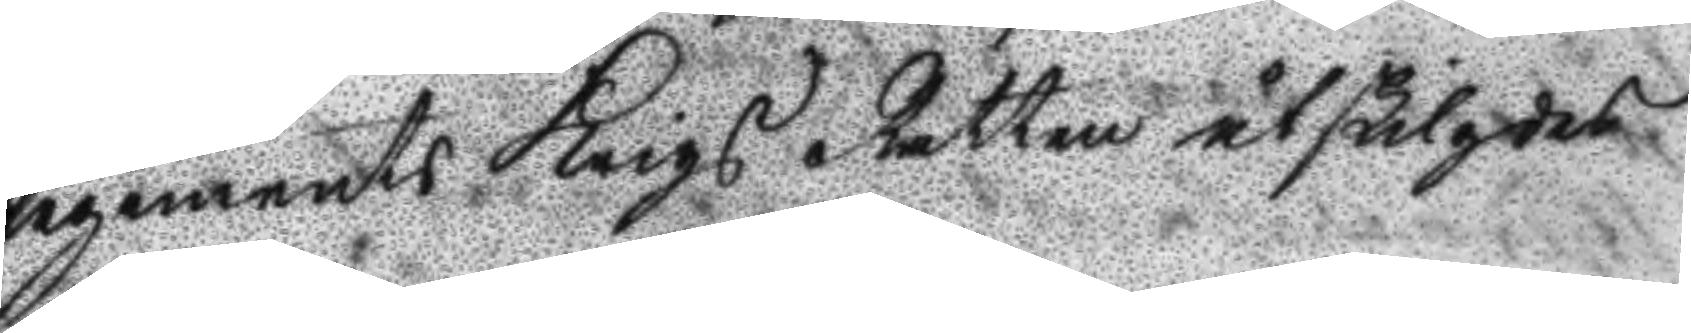Regements Krigs Rätten åtskilgdes.
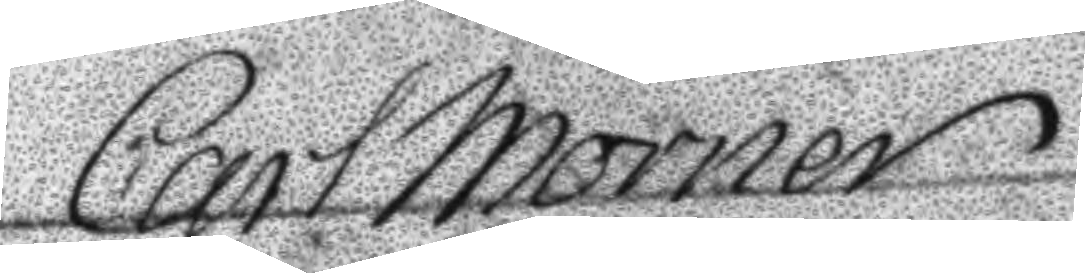Carl Mörner
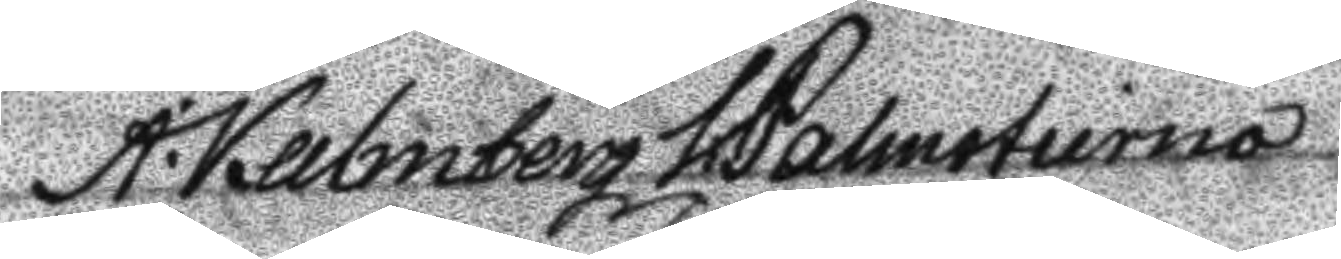A: Kalmberg V: Palmstierna
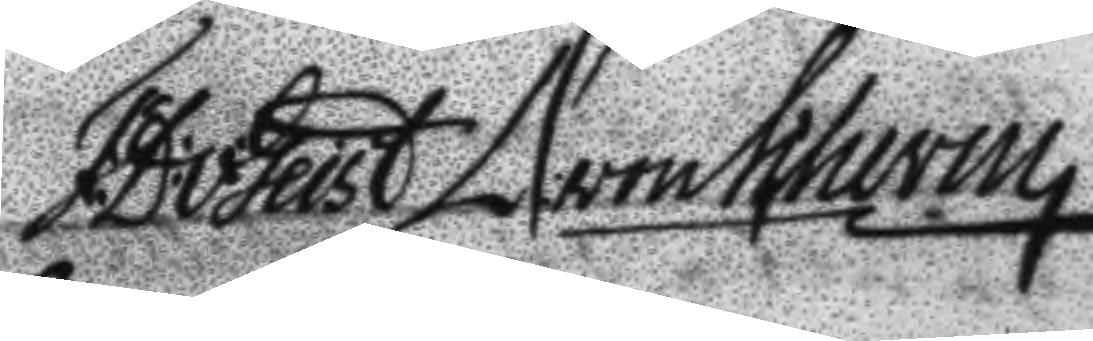F:D:v:Geist D: von Scheven  
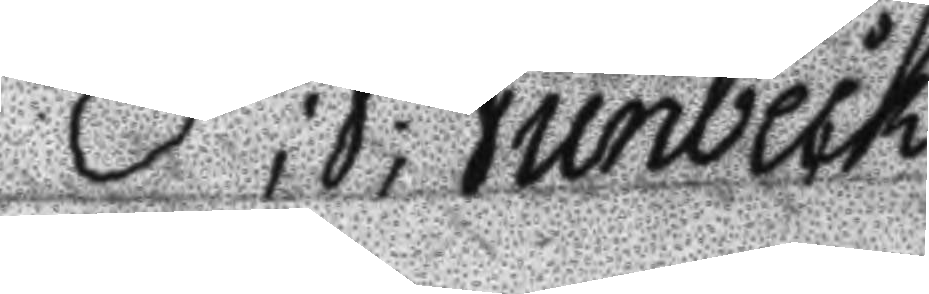P;J;Junbeck
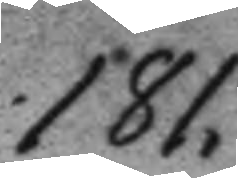181.
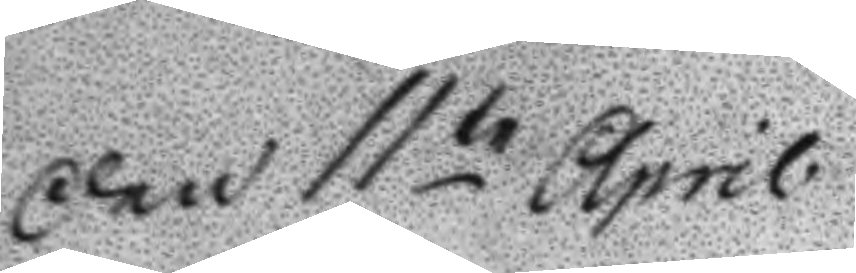Den 11te April
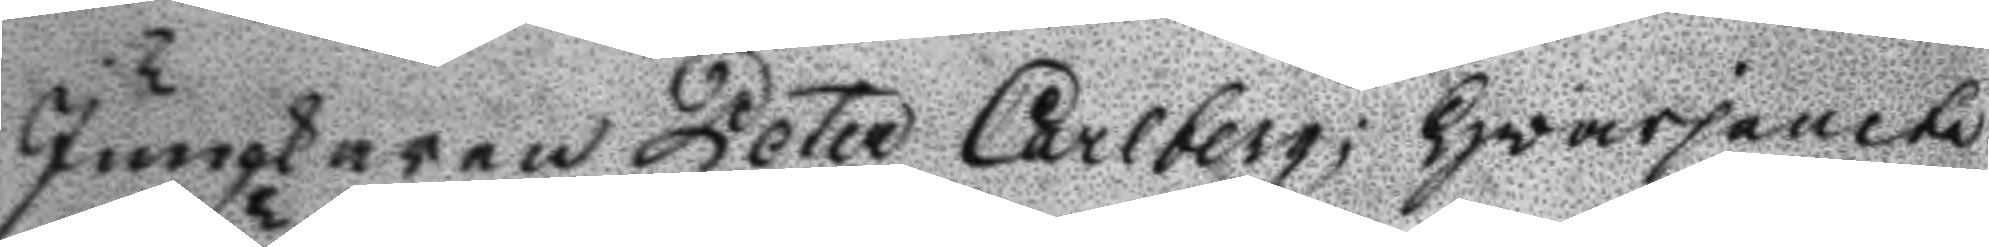Junkaren Peter Carlberg; hvarjemte
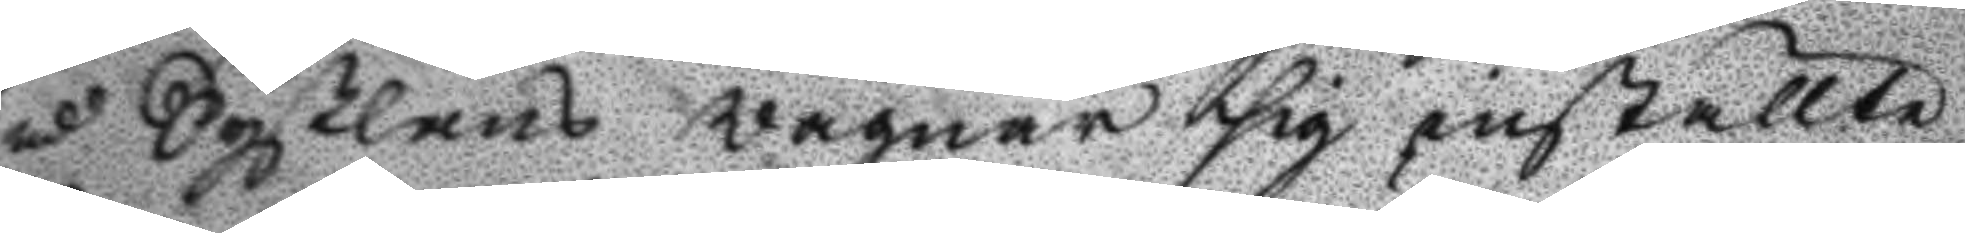m Syßlans wägnar sig inställte
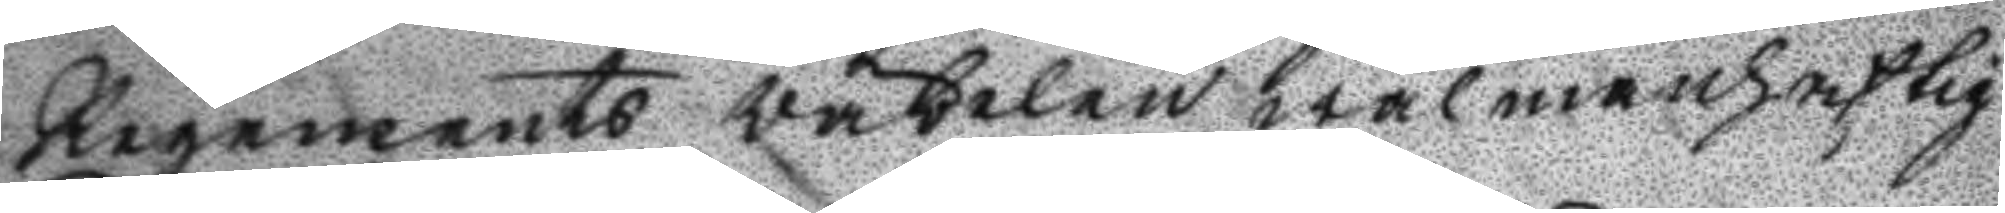Regements väbelen wälmanhaftig
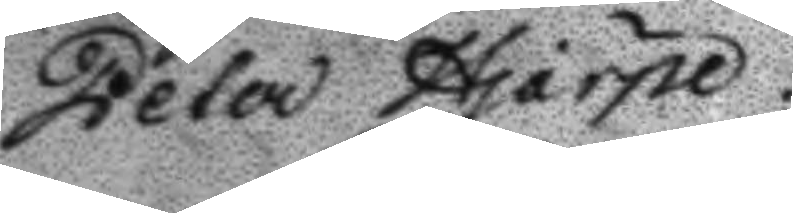Peter Hjärpe.
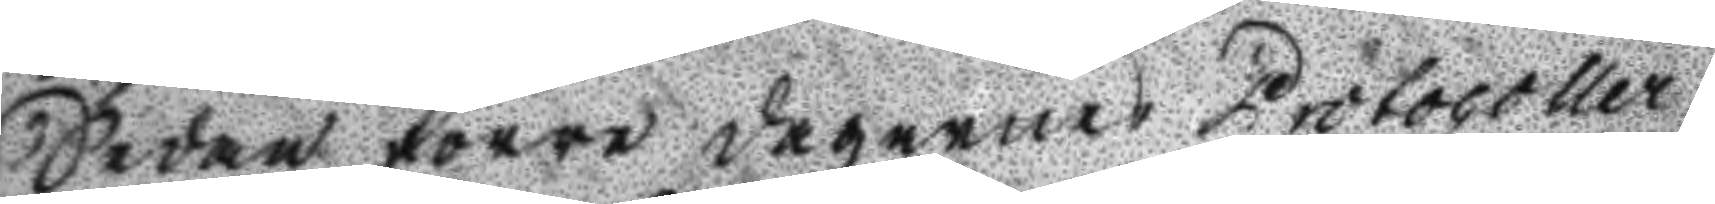Sedan förre dagernes Protocoller
